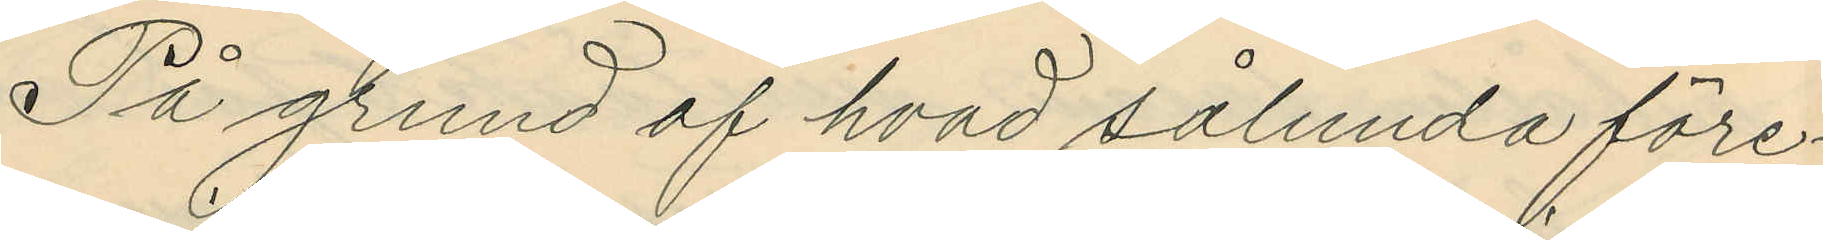På grund af hvad sålunda före¬
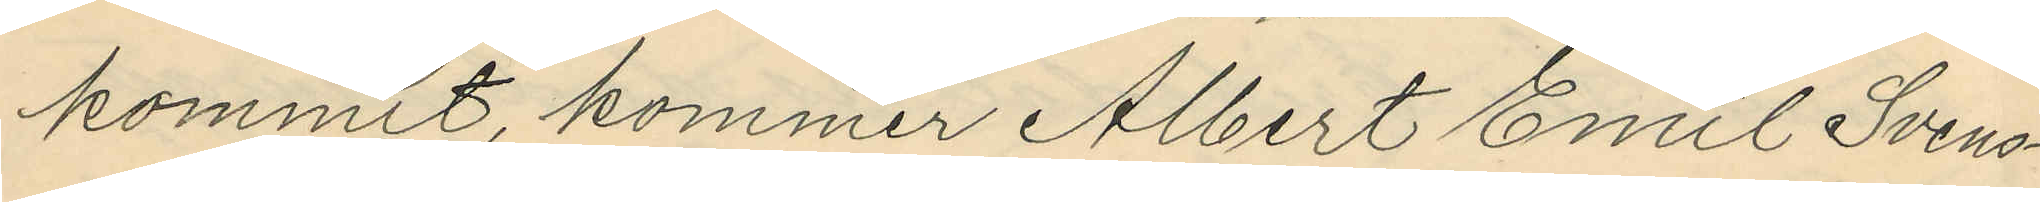kommit, kommer Albert Emil Svens¬
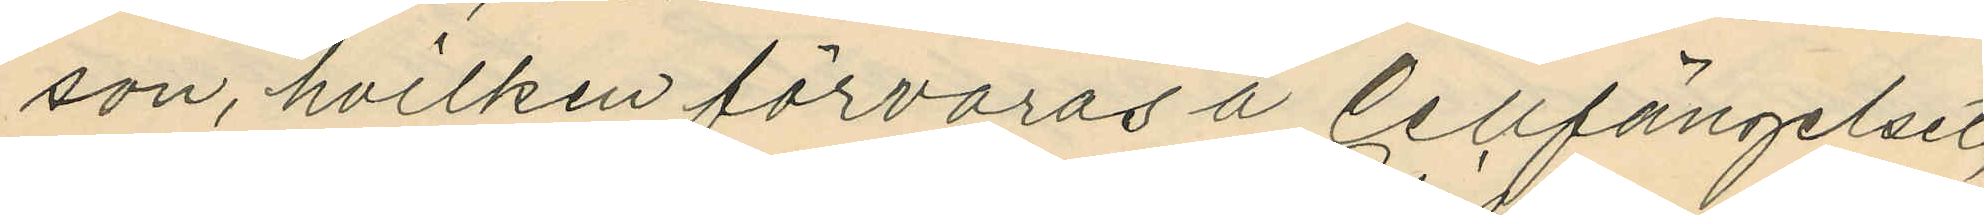son, hvilken förvaras å Cellfängelset,
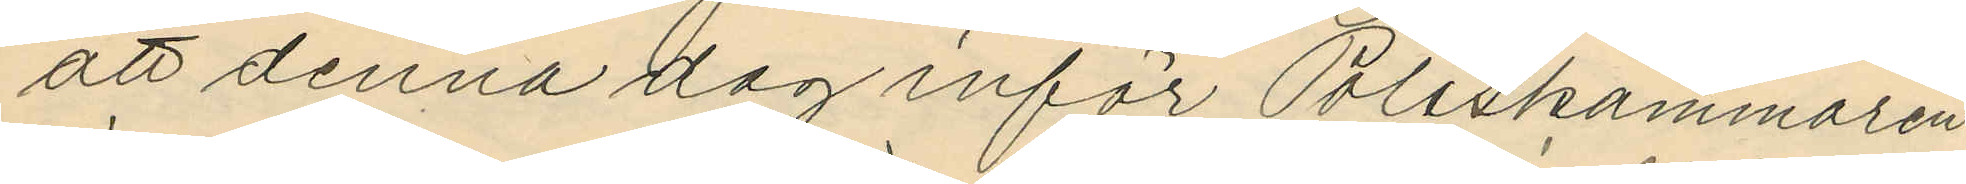att denna dag inför Poliskammaren
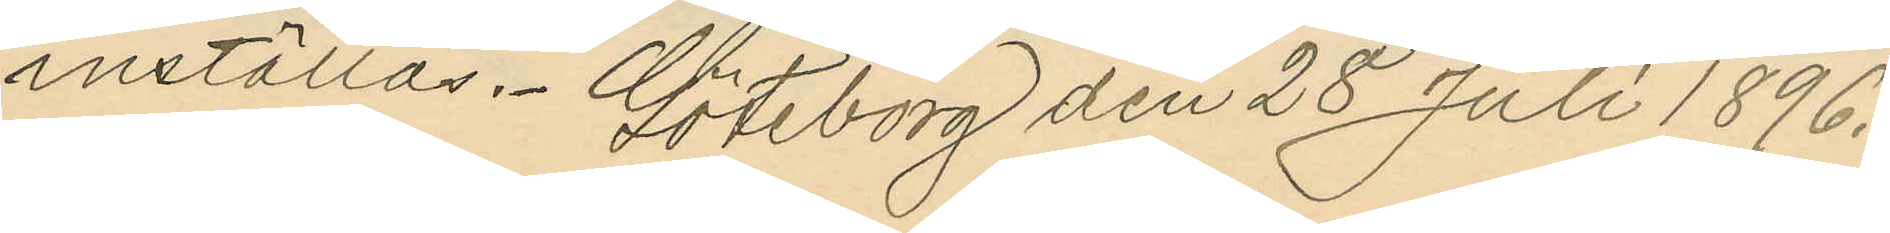inställas. Göteborg den 28 Juli 1896.
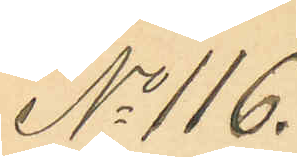No 116.
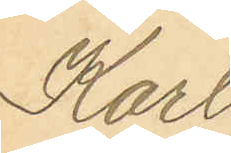Karl
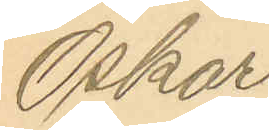Oskar
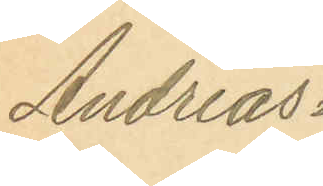Andreas¬
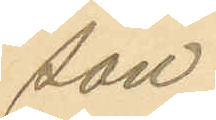son.
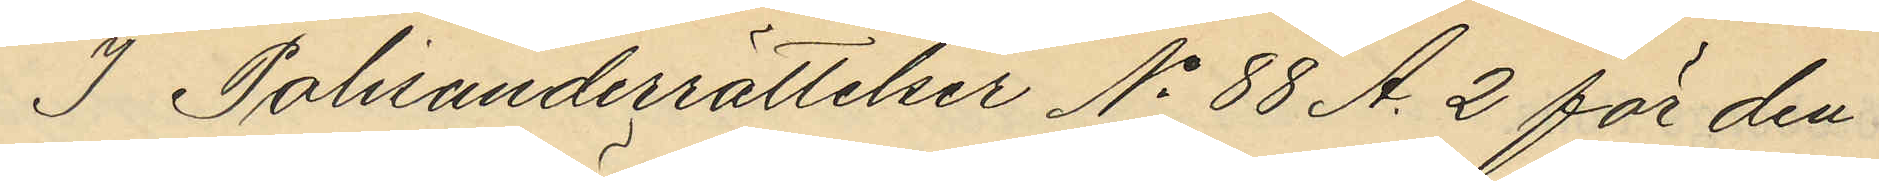I Polisunderrättelser No 88 A. 2 för den
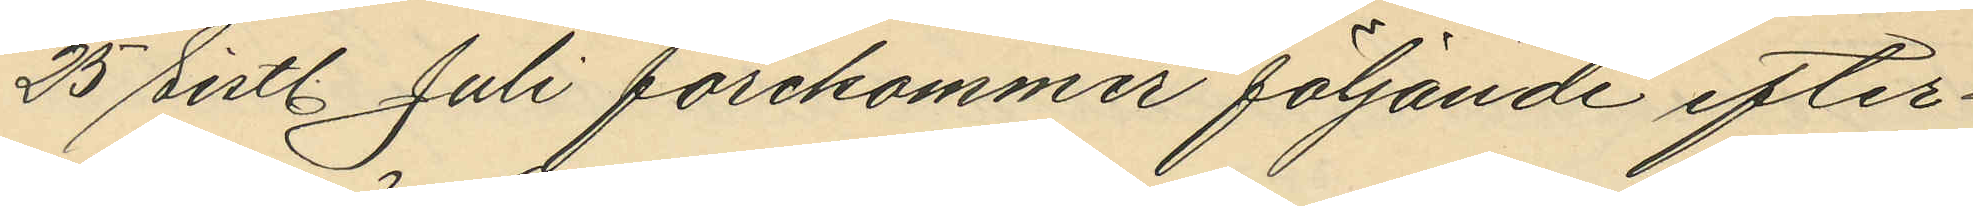25 sist. Juli förekommer följande efter¬
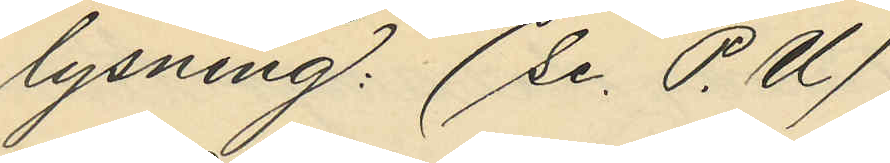lysning: (Se. P.U)
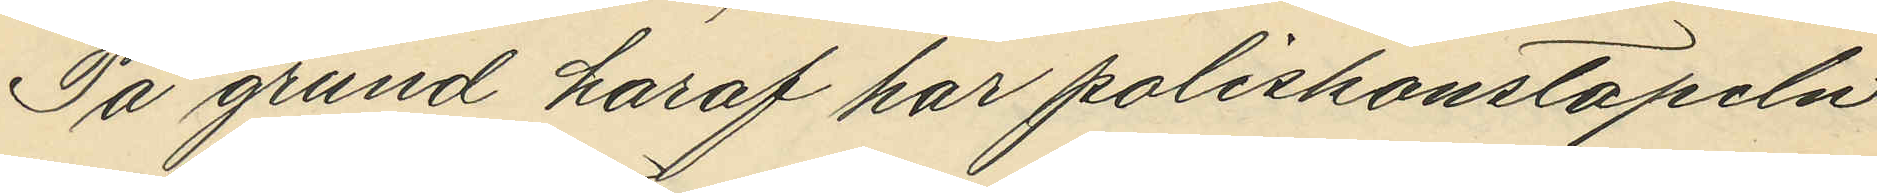På grund haraf har poliskonstapeln
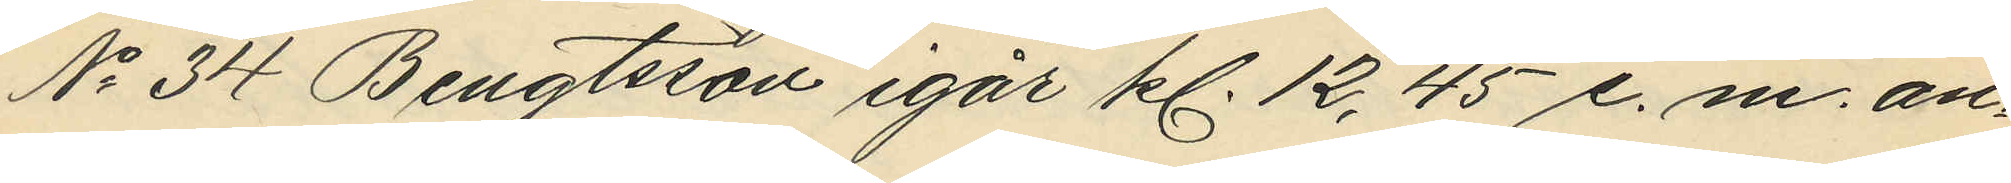No 34 Bengtsson igår kl. 12,45 e. m. an¬
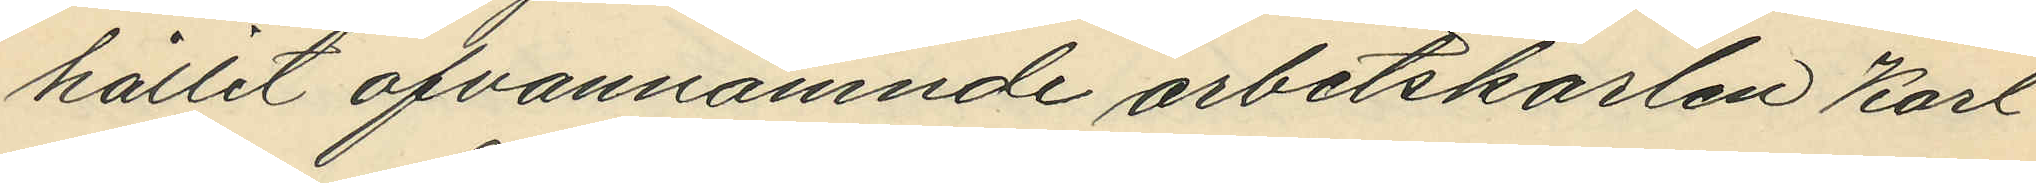hållit ofvannämnde arbetskarlen Karl
